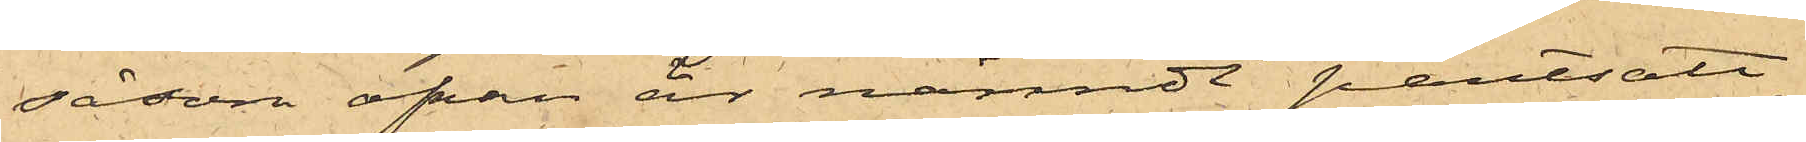såsom ofvan är nämndt pantsatt
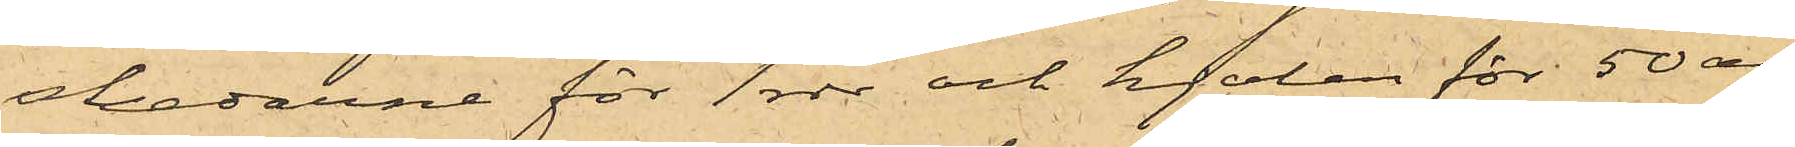skedarne för 1 rdr och kjolen för 50 öre;
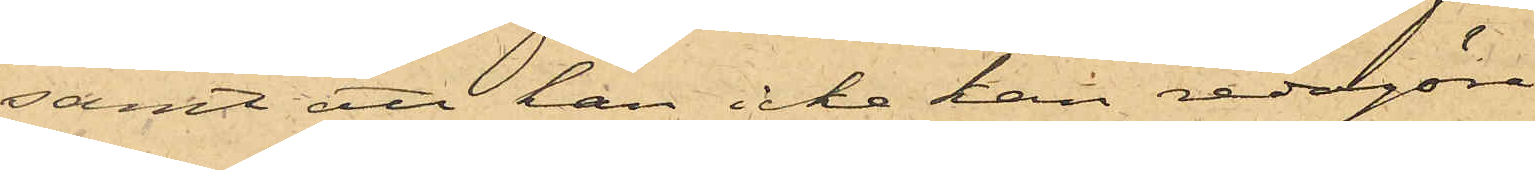samt att han icke kan redogöra
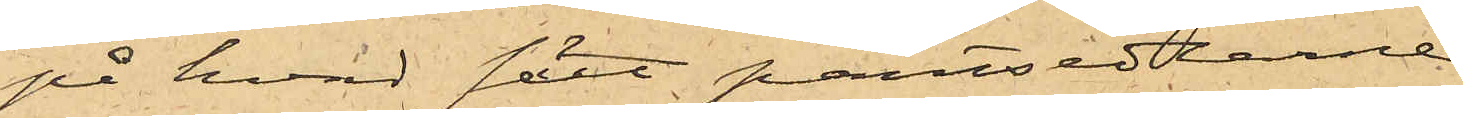på hvad sätt pantsedlarne
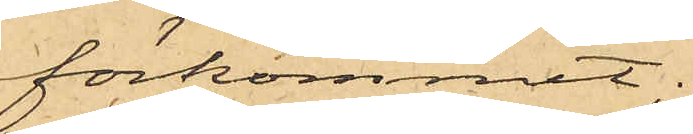förkommit;
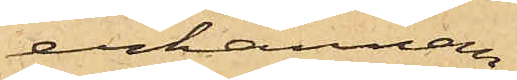erkännan¬
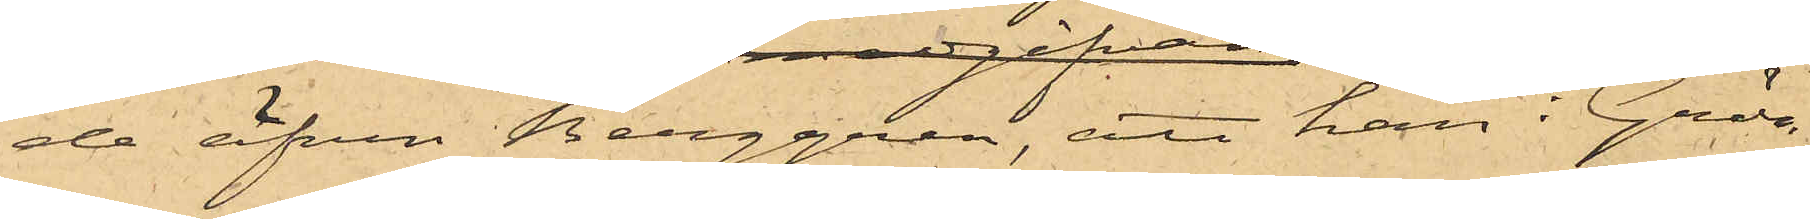de äfven Berggren, att han i Grön¬
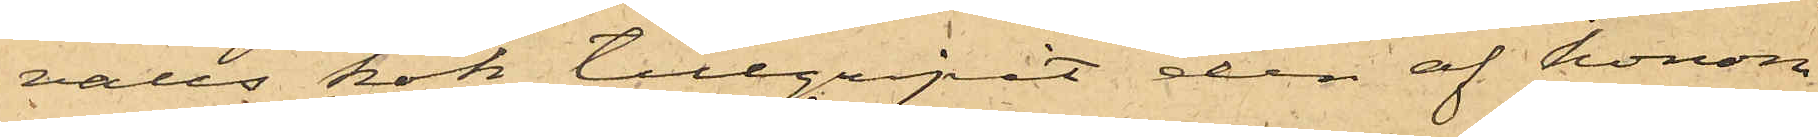valls kök tillgripit den af honom
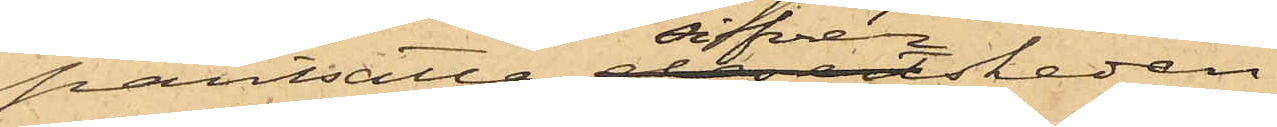pantsatta silfverskeden.
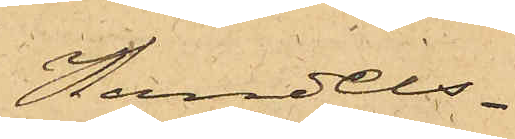Handels¬
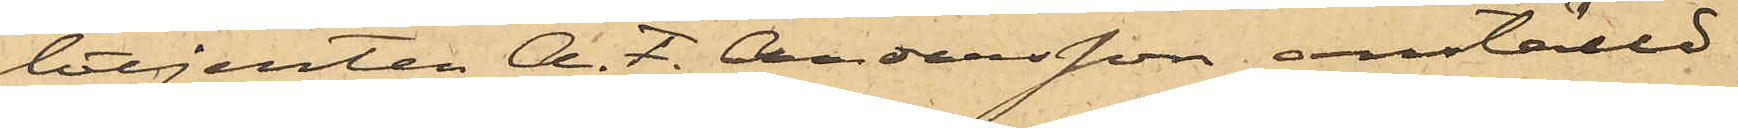betjenten A. F. Andersson anställd
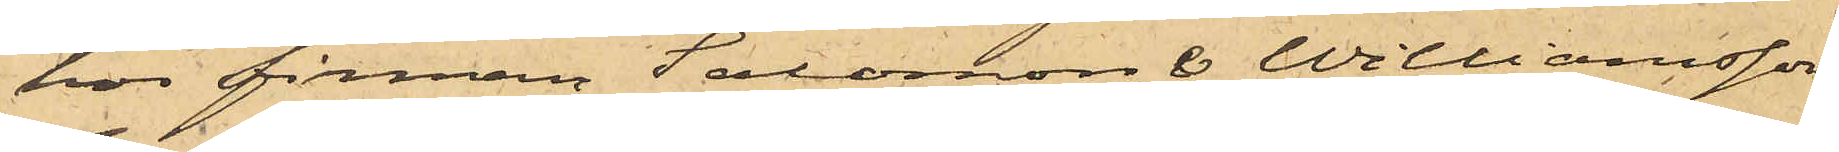hos firman Salomon & Williamsson
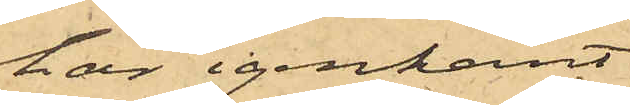har igenkänt
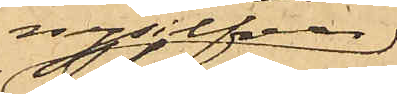nysilfver¬
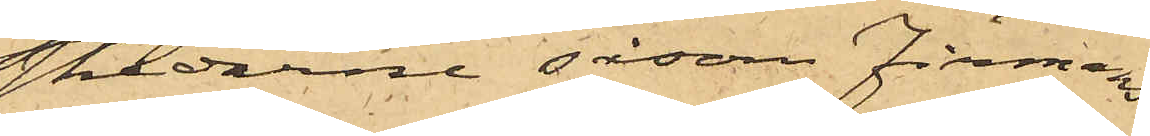skedarne såsom Firmans
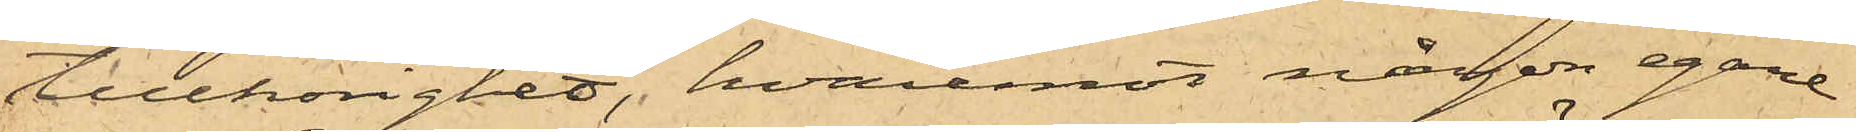tillhörighet, hvaremot någon egare
